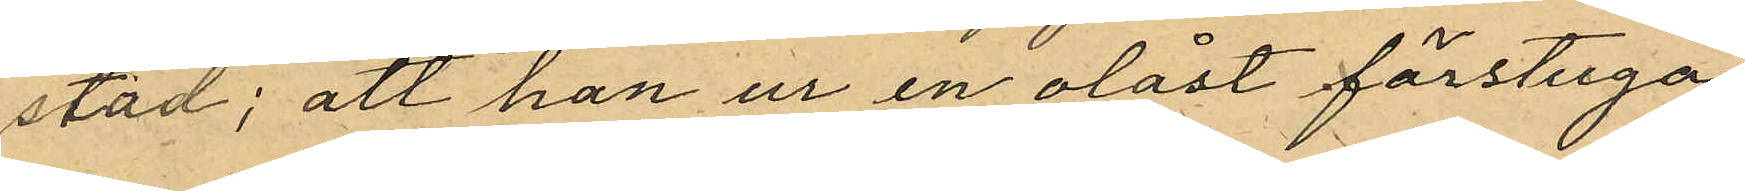stad; att han ur en olåst förstuga
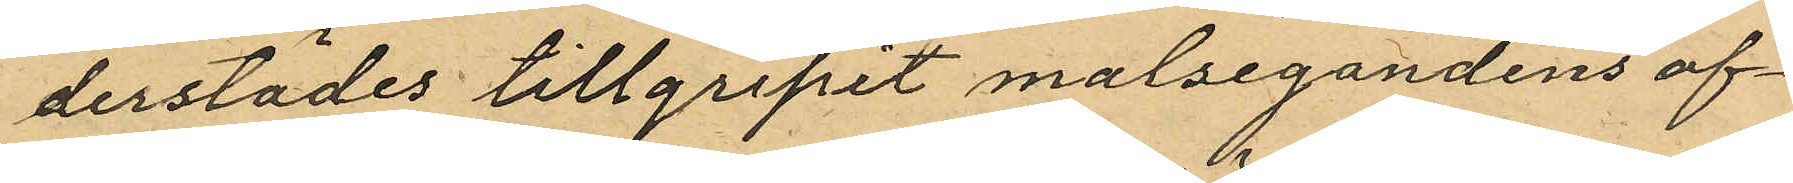derstädes tillgripit målsegandens af
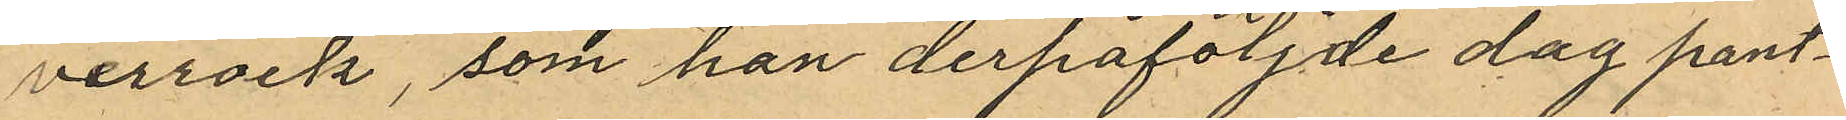verrock, som han derpåföljande dag pant¬
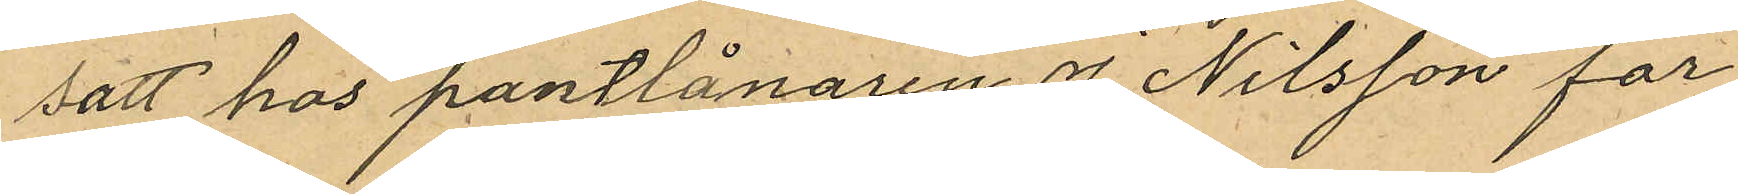satt hos pantlånaren J. Nilsson för
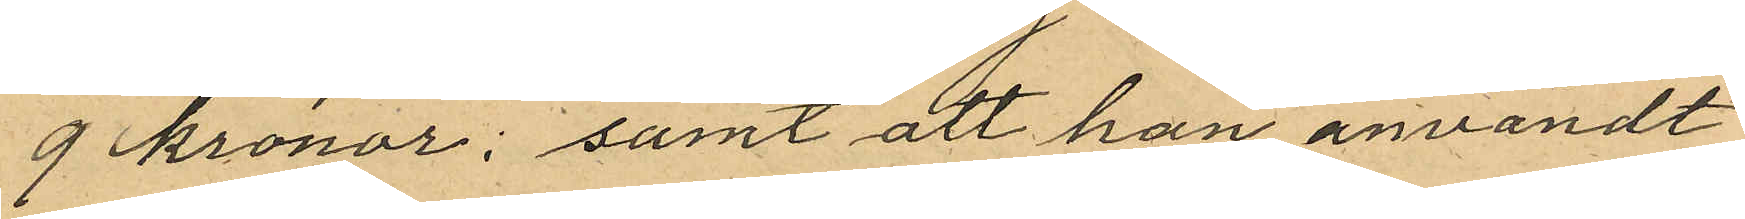9 kronor; samt att han användt
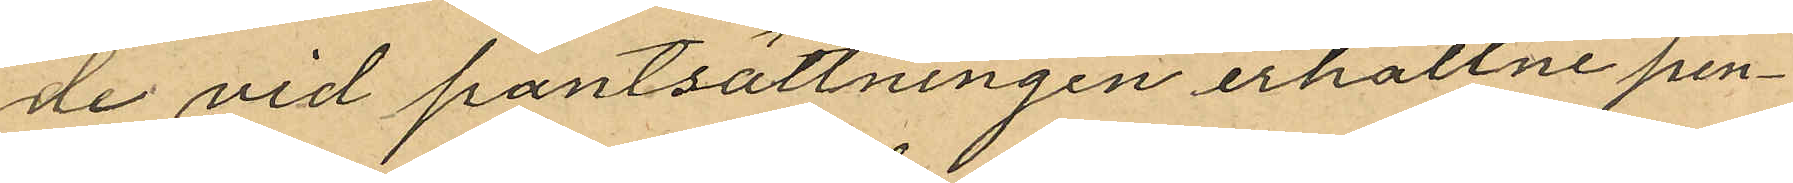de vid pantsättningen erhållne pen¬
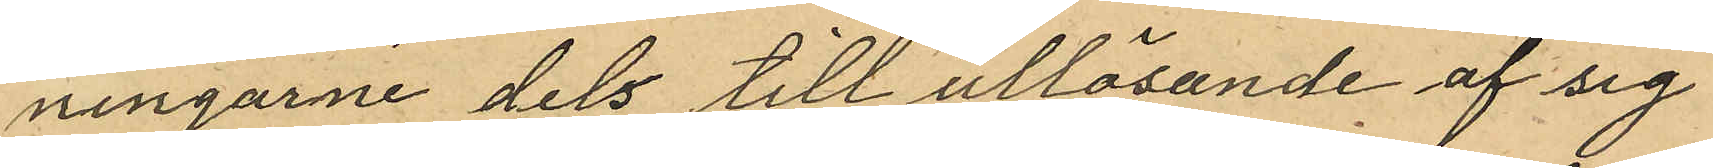ningarne dels till utlösande af sig
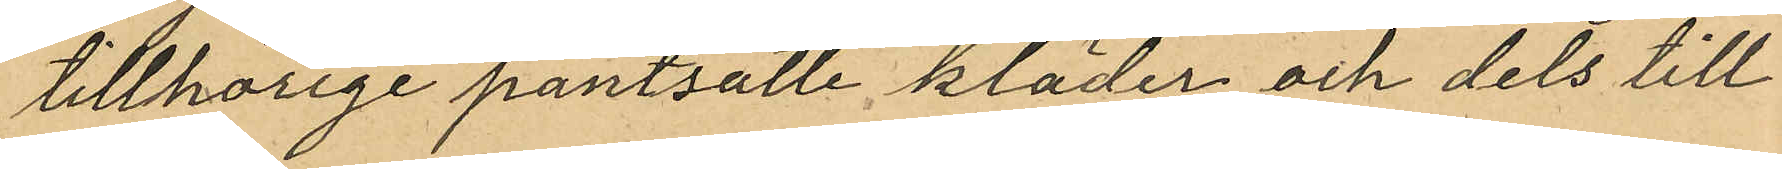tillhörige pantsatte kläder och dels till
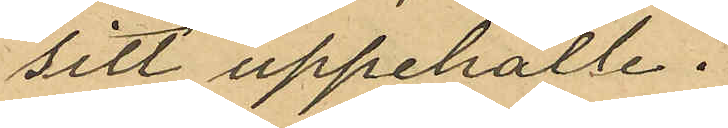sitt uppehälle.
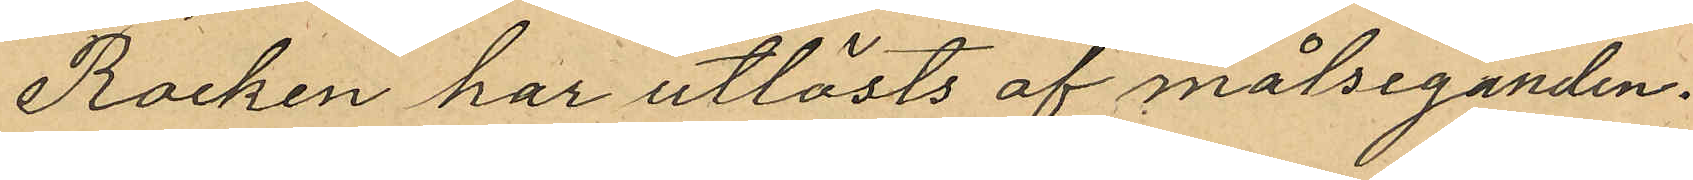Rocken har utlösts af målseganden.
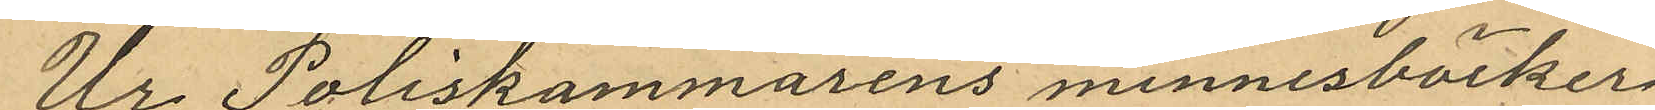Ur Poliskammarens minnesböcker
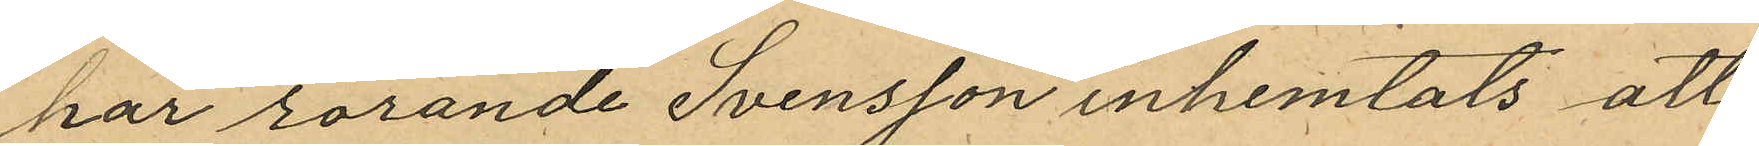har rörande Svensson inhemtats att
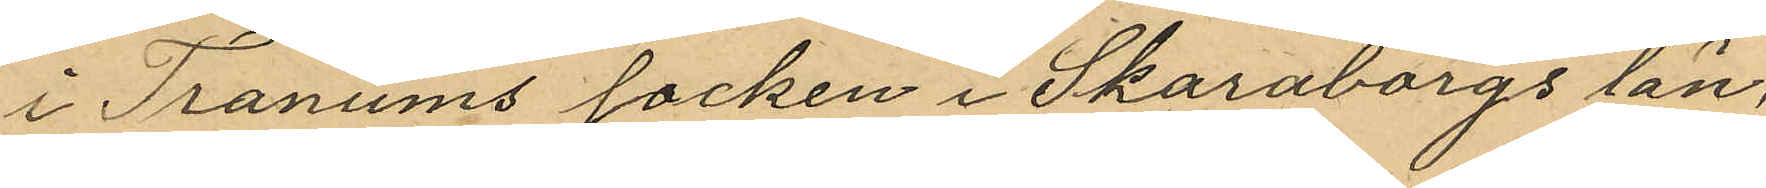i Tranums socken i Skaraborgs län;
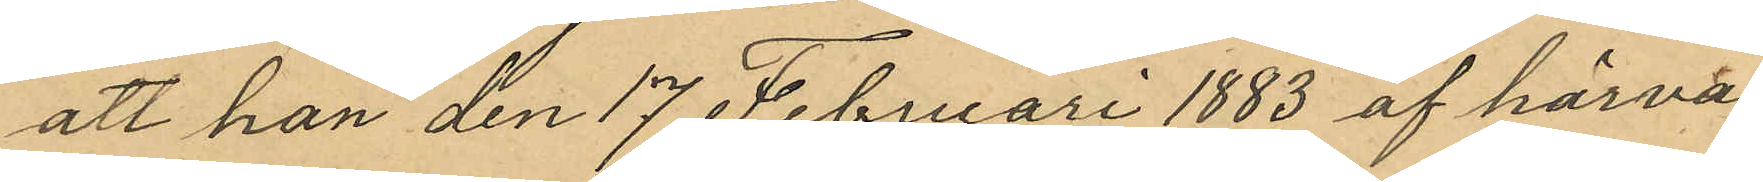att han den 17 Februari 1883 af härva¬
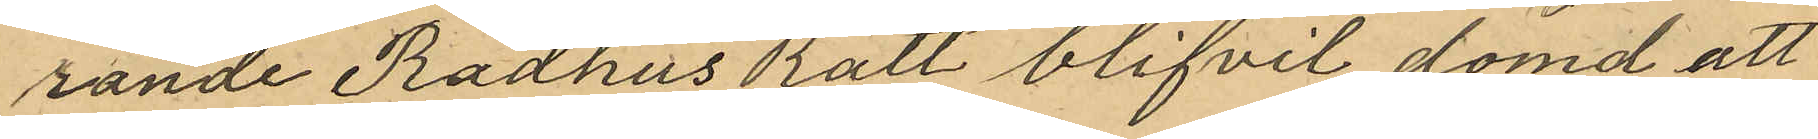rande Rådhus Rätt blifvit dömd att
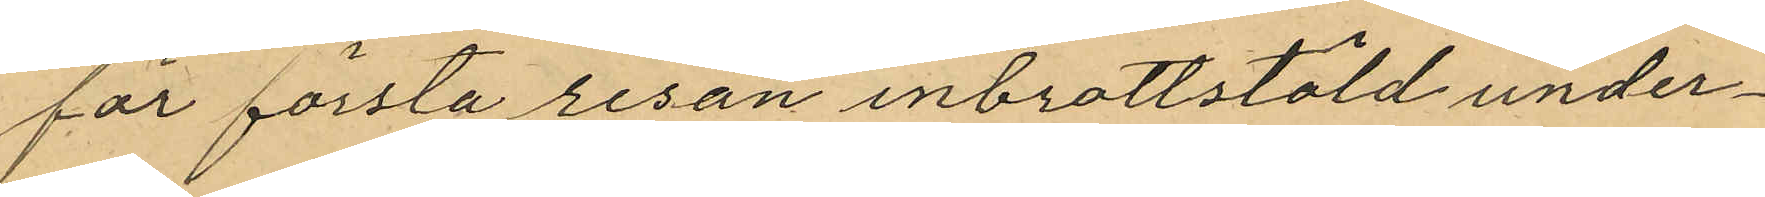för första resan inbrottstöld under¬
